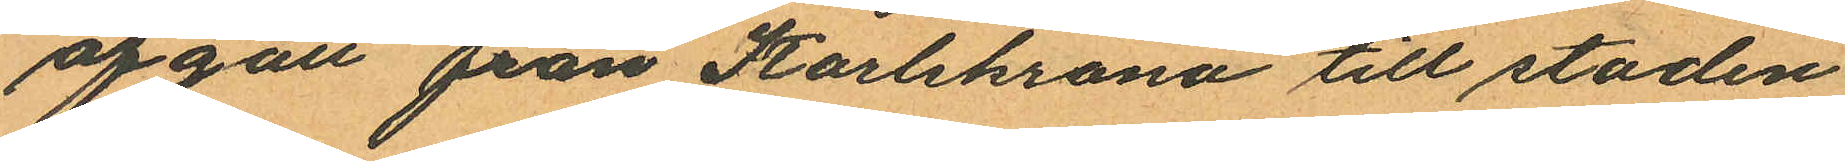afgått från Karlskrona till staden
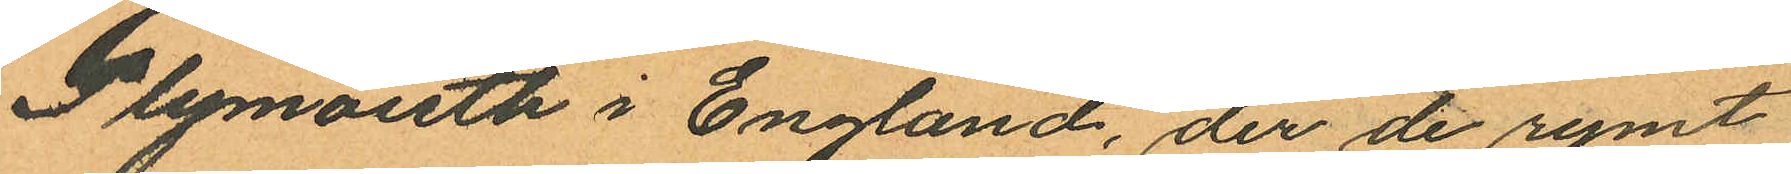Plymouth i England, der de rymt
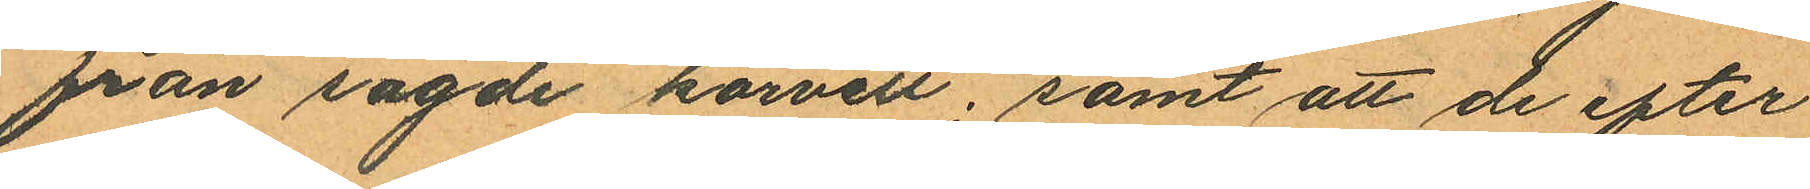från sagde korvett; samt att de efter
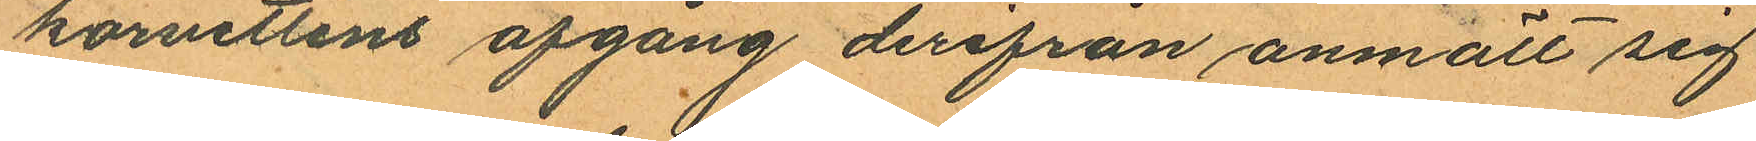korvettens afgång derifrån anmält sig
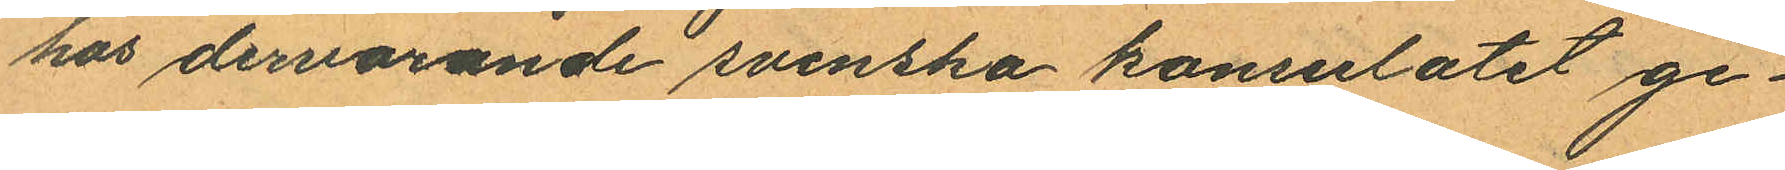hos dervarande svenska konsulatet ge¬
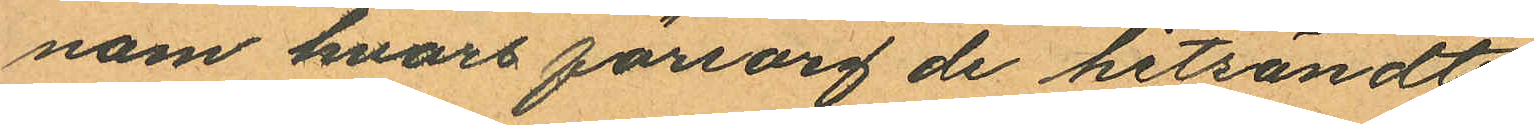nom hvars försorg de hitsändts.
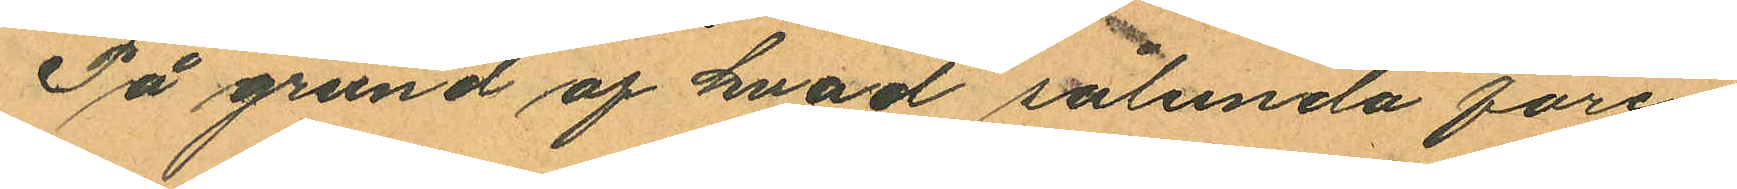På grund af hvad sålunda före¬
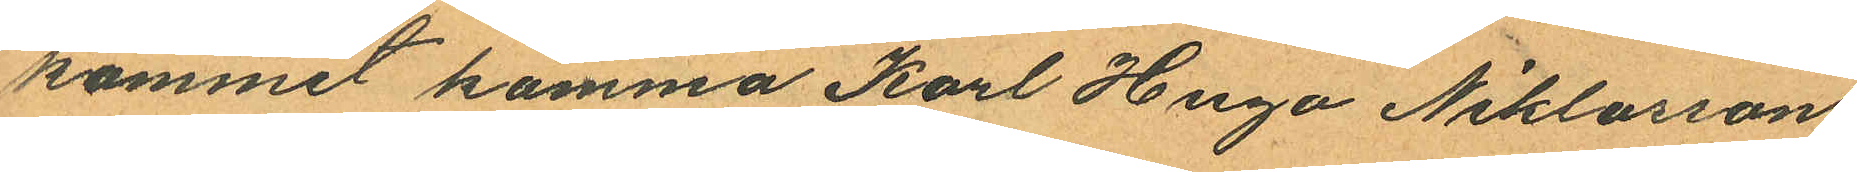kommit komma Karl Hugo Niklasson
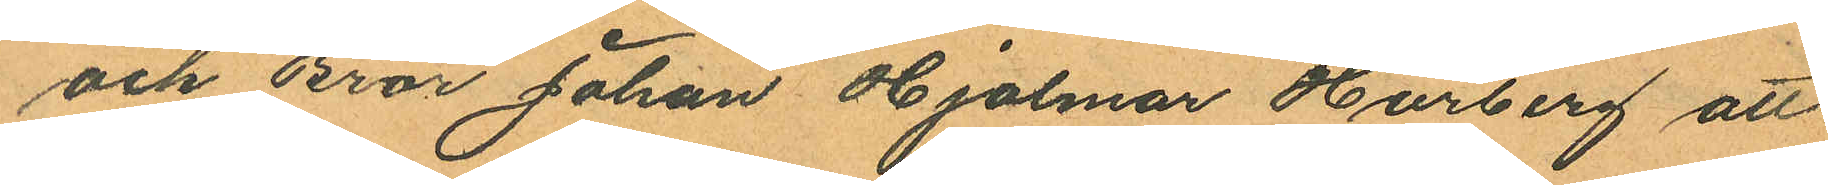och Bror Johan Hjalmar Hörberg att
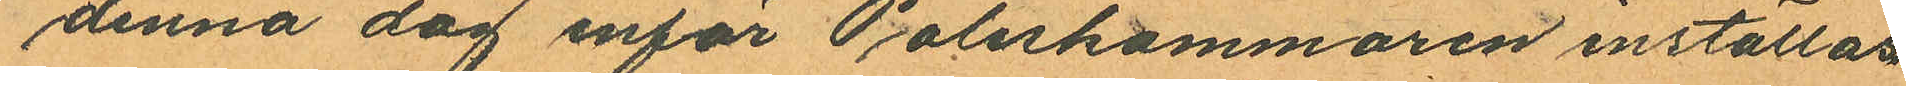denna dag inför Poliskammaren inställas
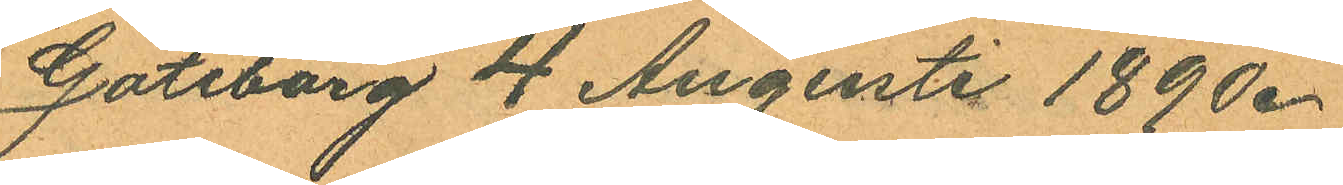Göteborg 4 Augusti 1890.
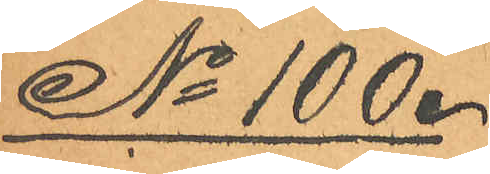No 100.
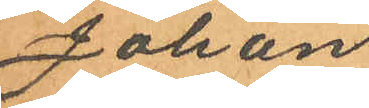Johan
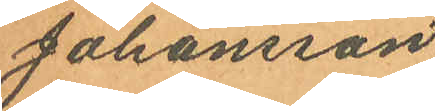Johansson
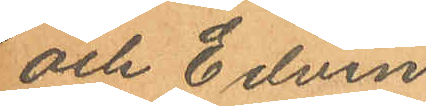och Edvin
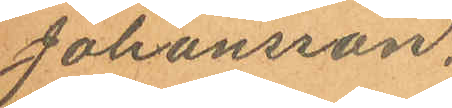Johansson.
